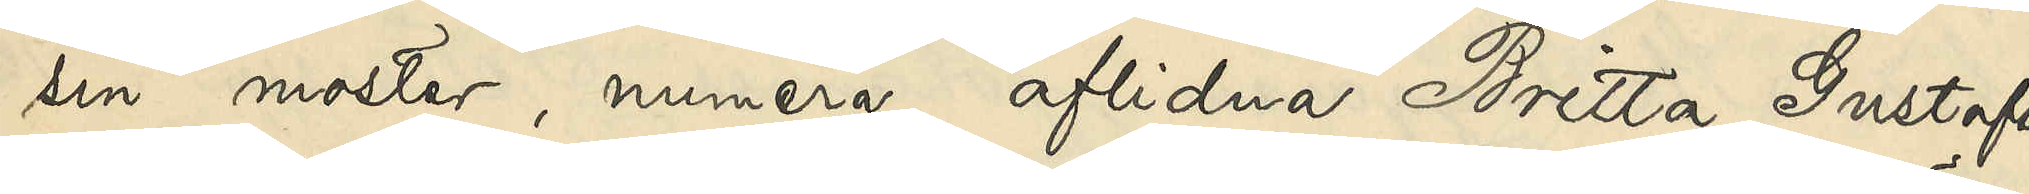sin moster, numera aflidna Britta Gustafs¬
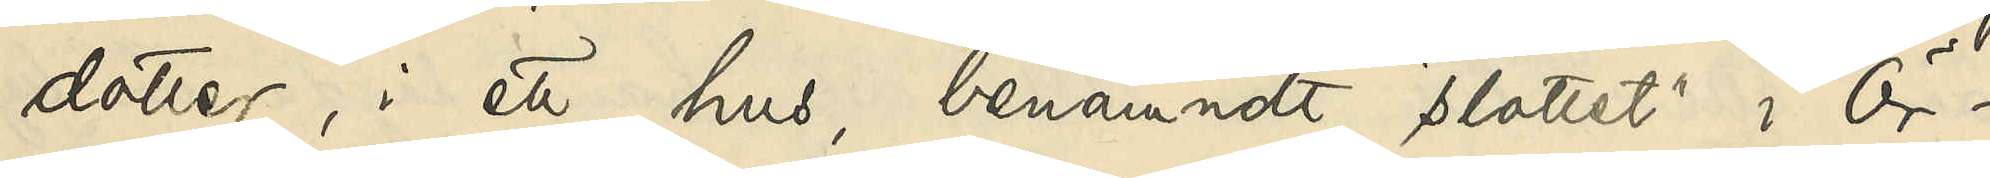dotter, i ett hus, benämndt "slottet" i Ör¬
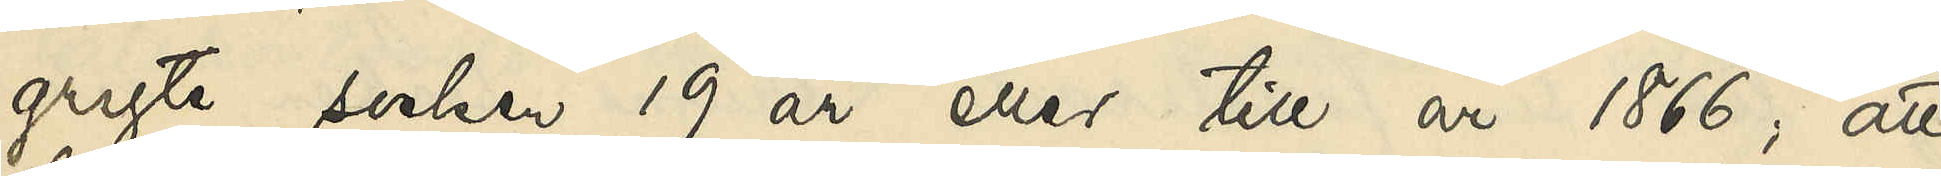gryte socken 19 år eller till 1866, att
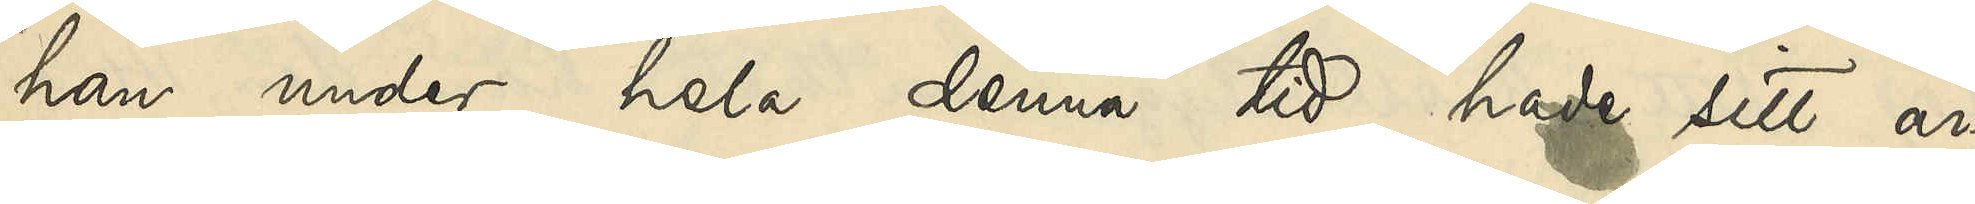han under hela denna tid hade sitt ar¬
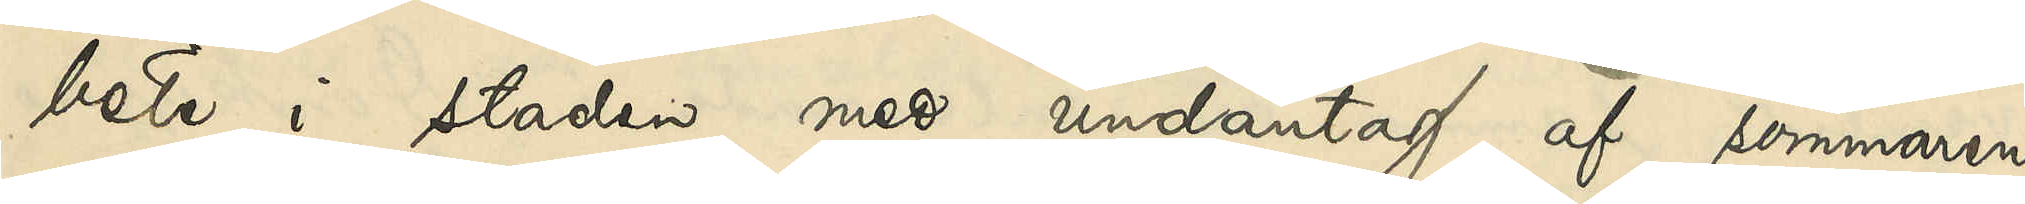bete i staden med undantag af sommaren
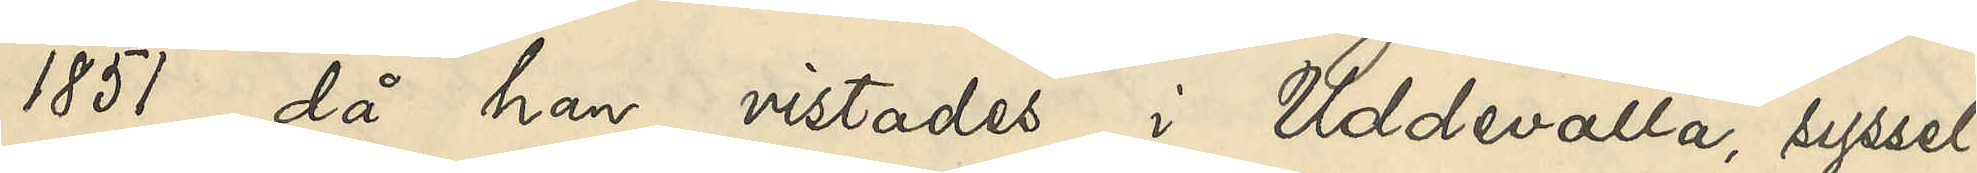1851, då han vistades i Uddevalla, syssel¬
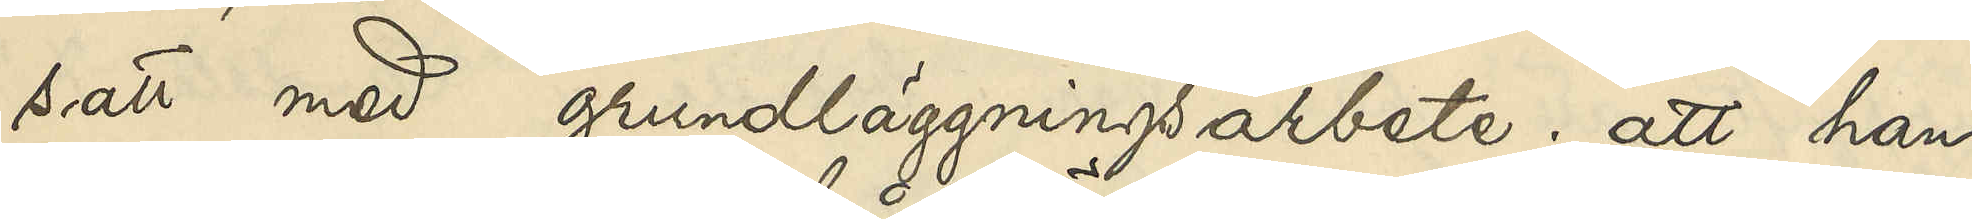satt med grundläggningsarbete; att han
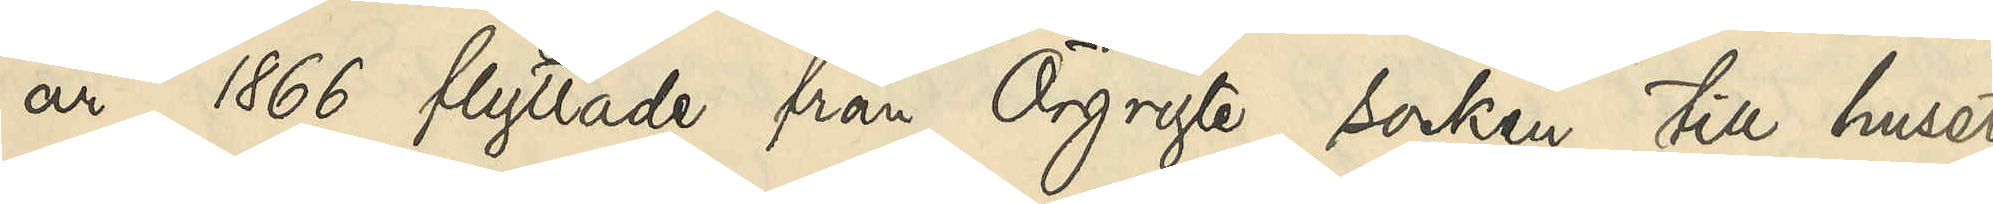år 1866 flyttade från Örgryte socken till huset
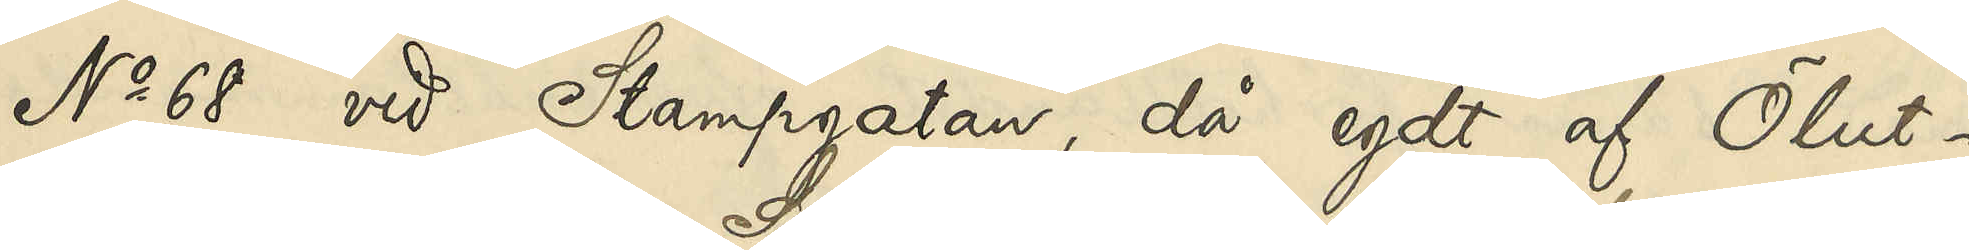No 68 vid Stampgatan, då egdt af Ölut¬
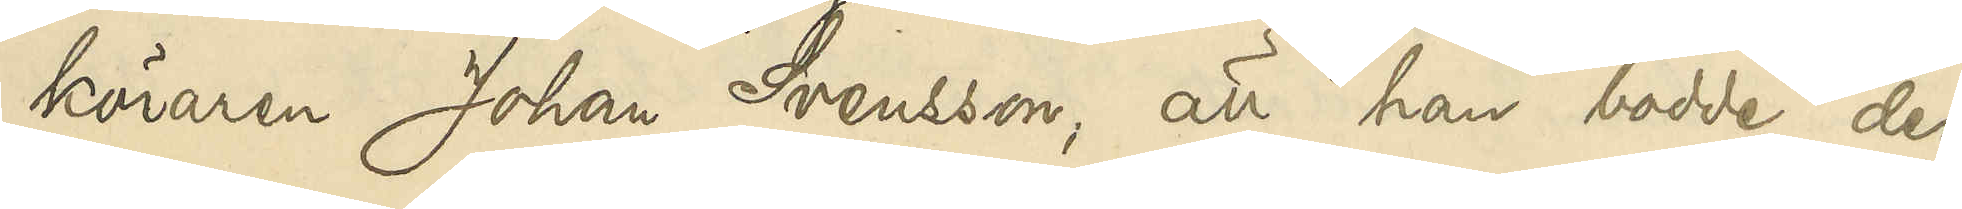köraren Johan Svensson, att han bodde der
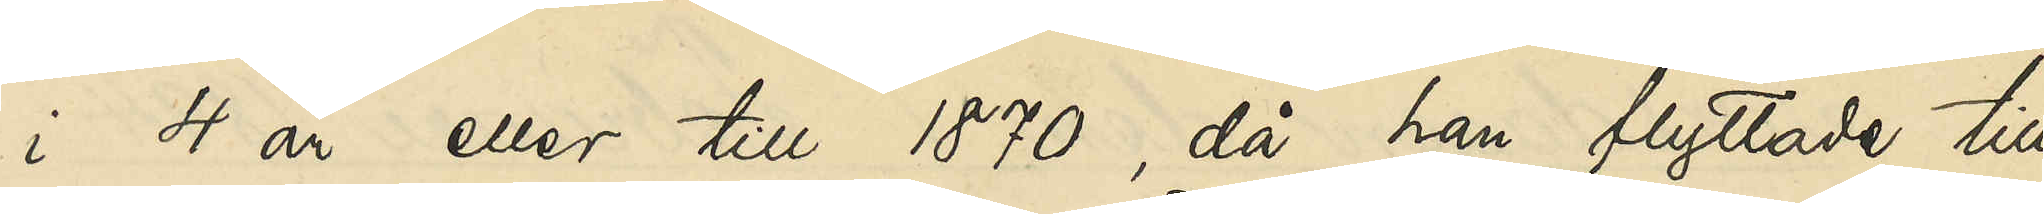i 4 år eller till 1870, då han flyttade till
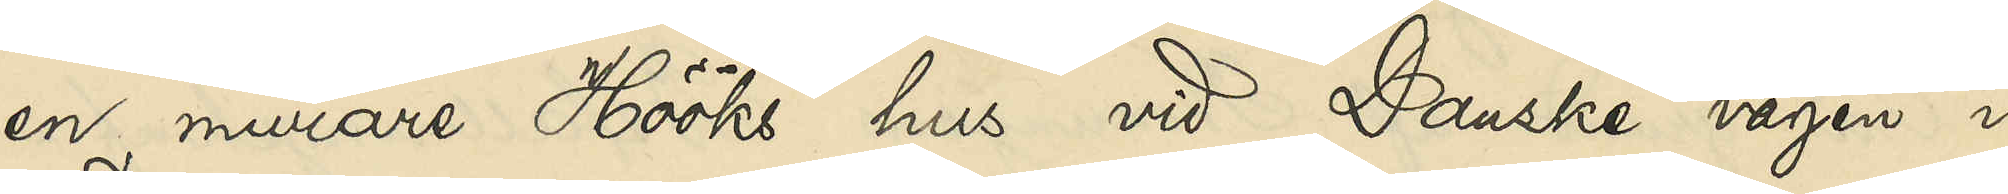en murare Hööks hus vid Danske vägen i
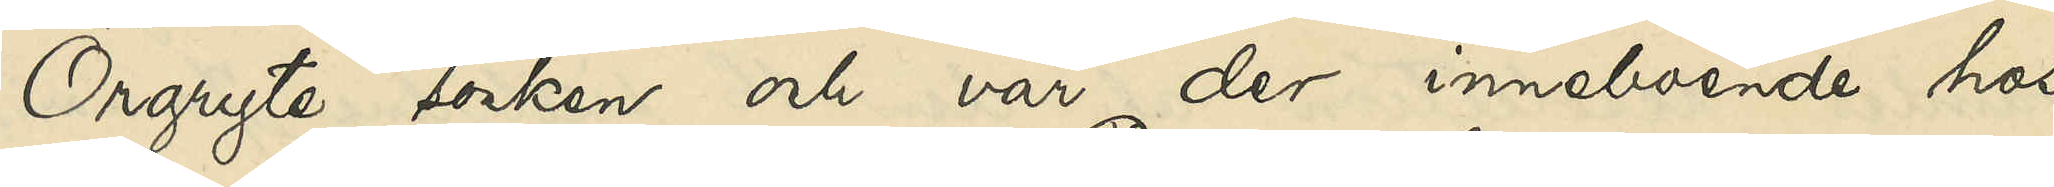Örgryte socken och var der inneboende hos
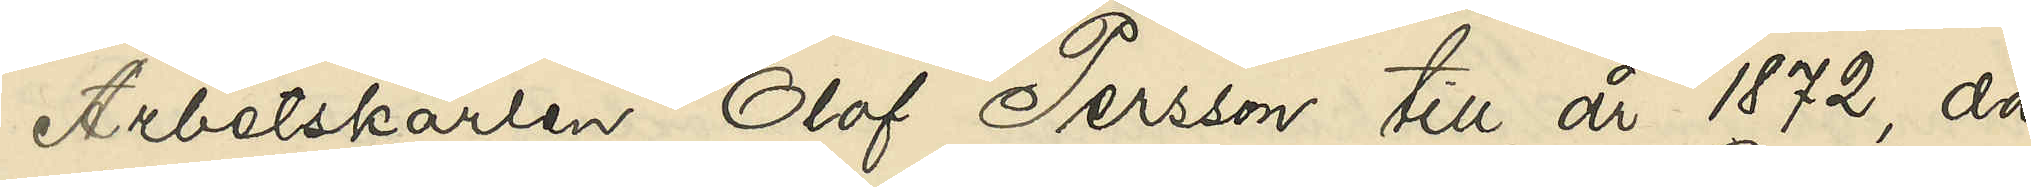Arbetskarlen Olof Persson till år 1872, då
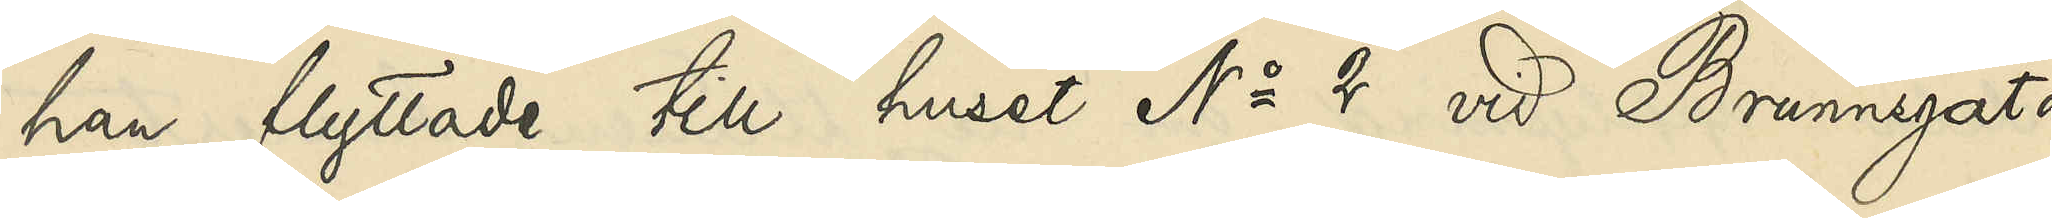han flyttade till huset No 2 vid Brunnsgatan
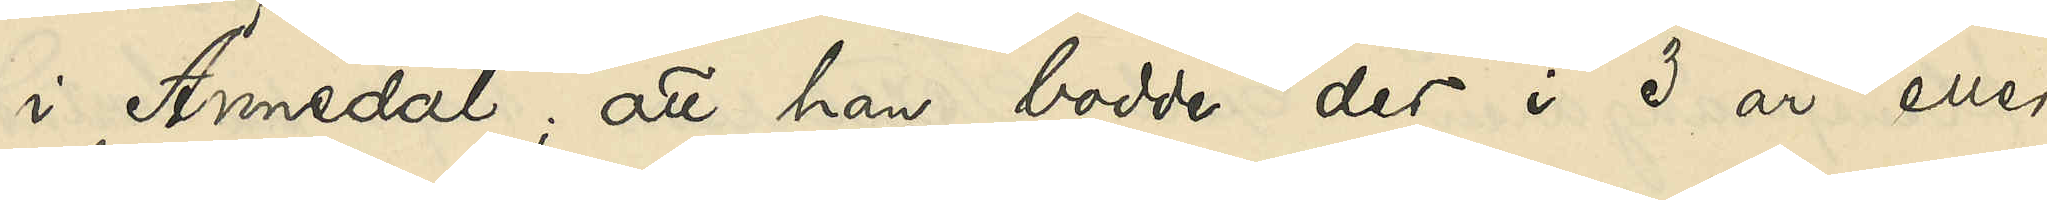i Annedal; att han bodde der i 2 år eller
